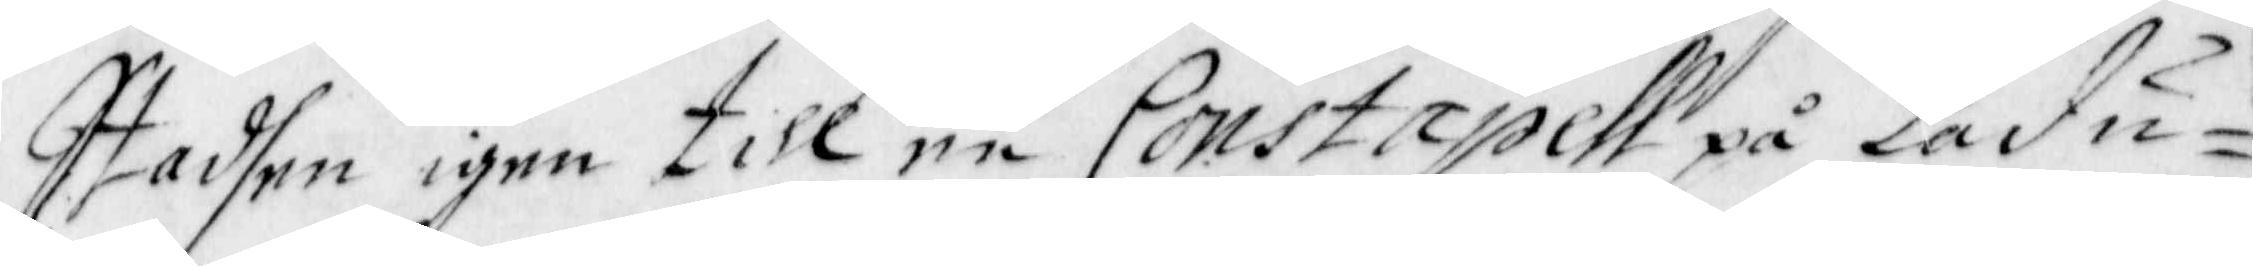Stadhen igen till en Constapell på Ladu¬
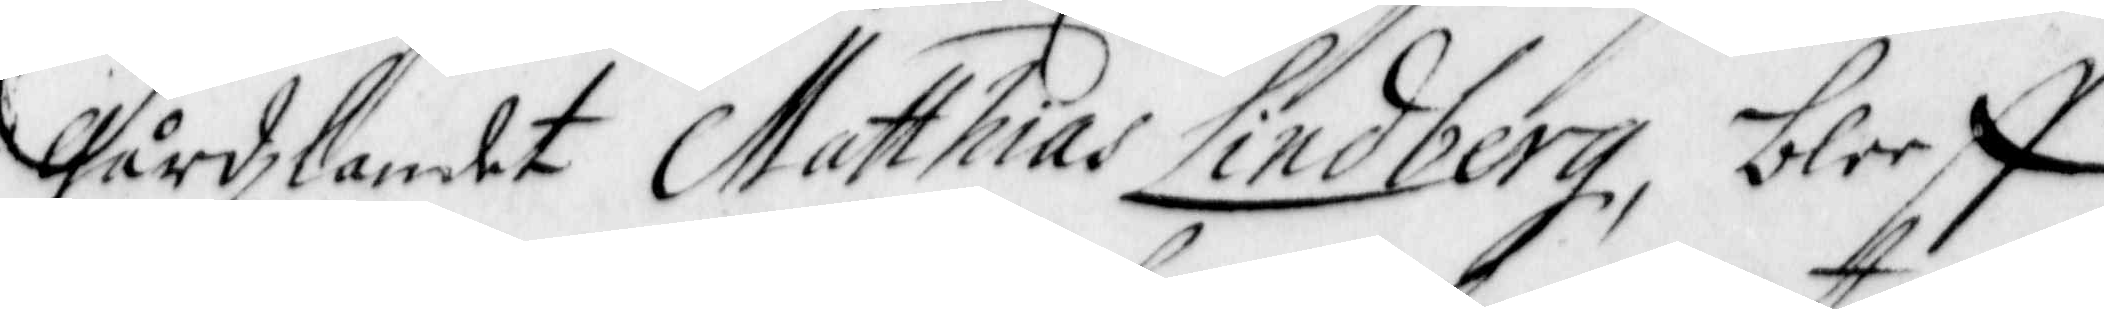gårdzlandet Matthias Lindberg, bleeff
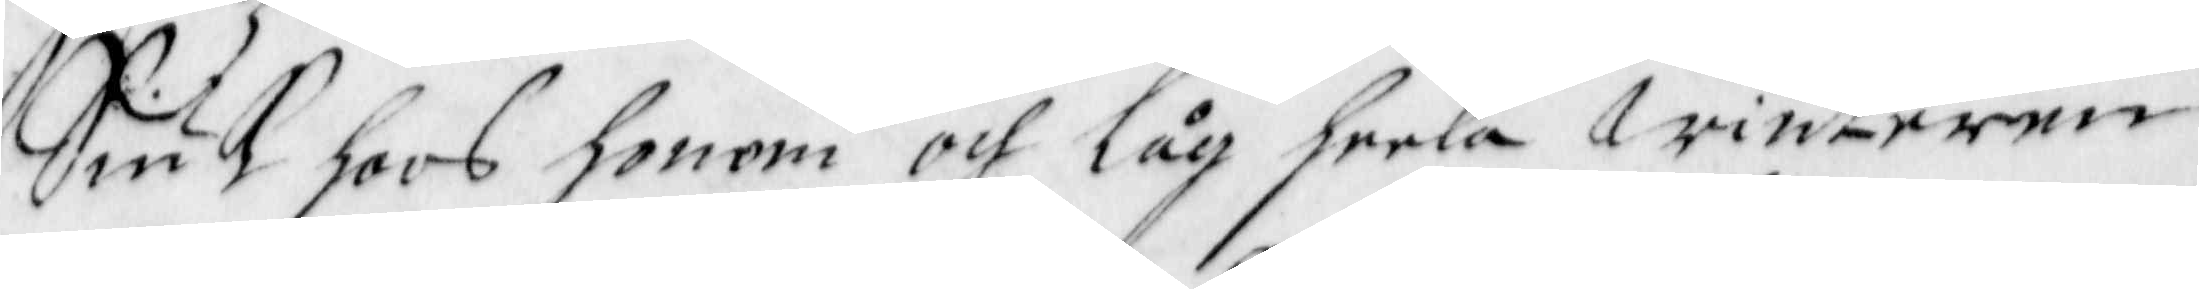Siuk hoos honom och låg heela Winteren
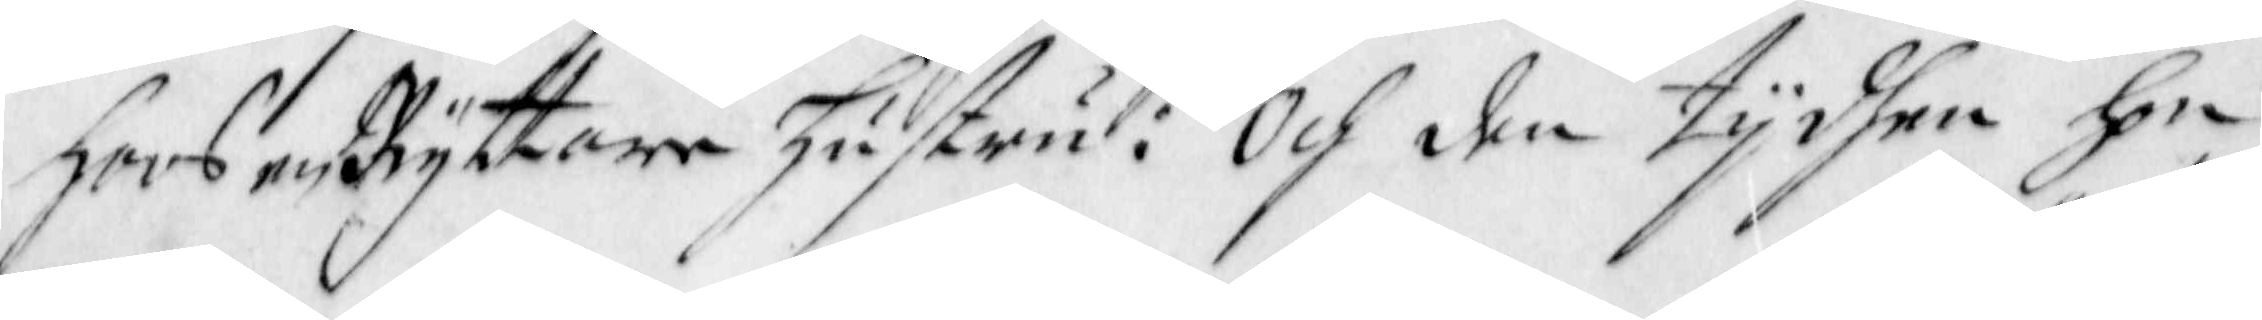hoos en Ryttare hustru: Och den tijdhen hon
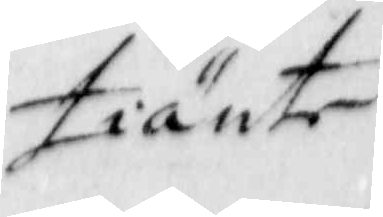tiänte
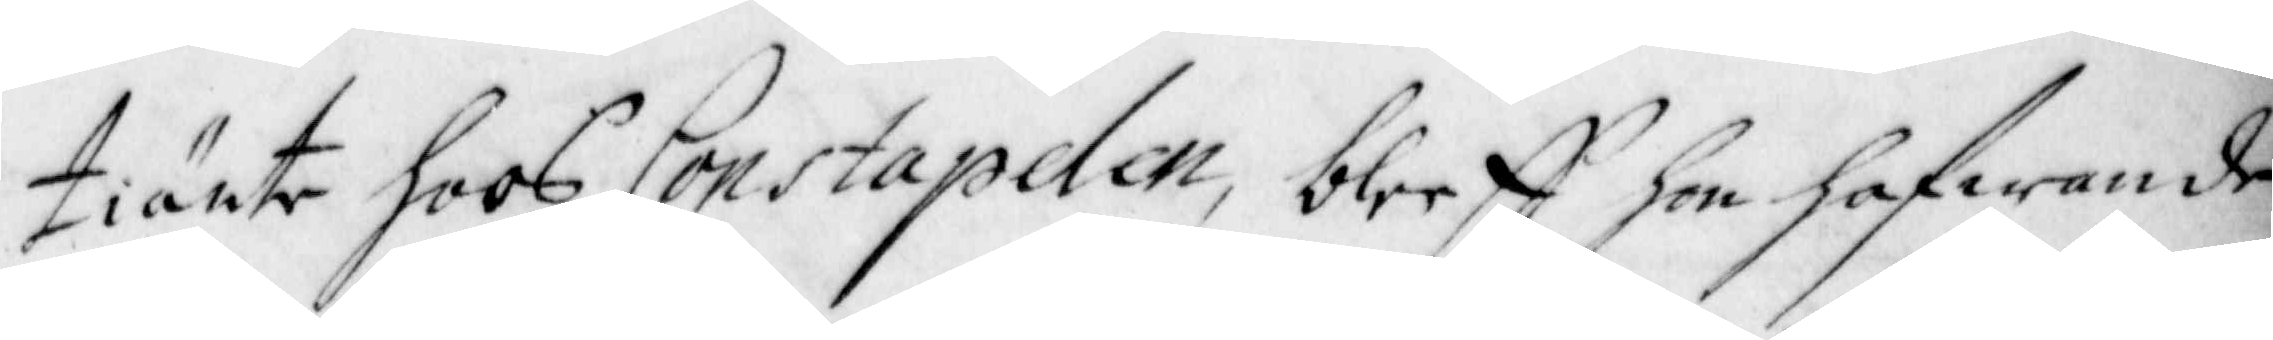tiänte hoos Constapelen, bleeff hon hafwande
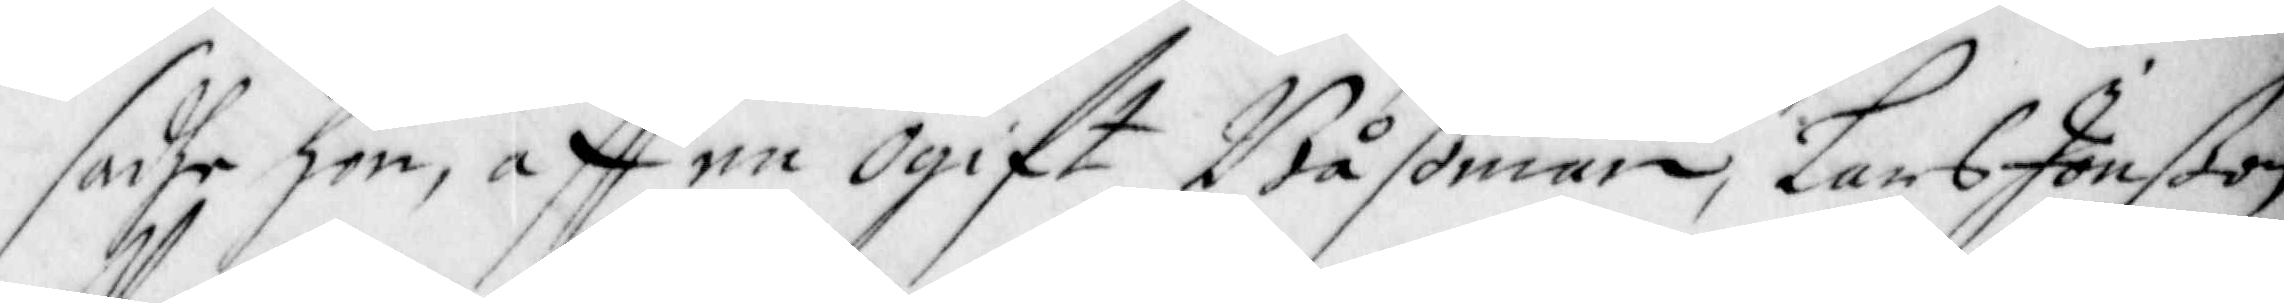sadhe hon, aff en Ogift Båßman, Lars Jonßon
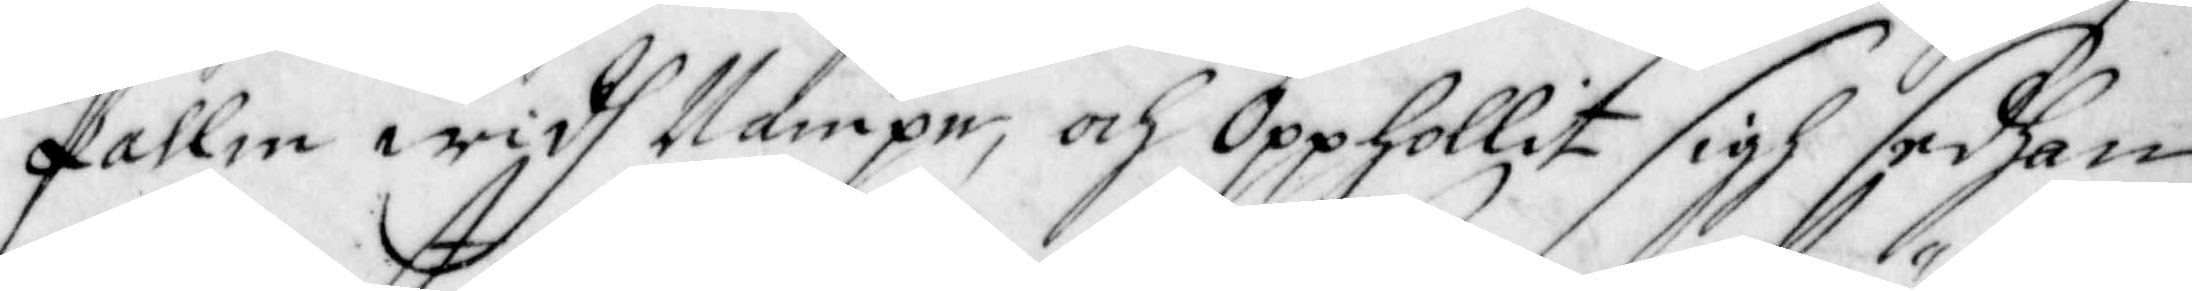Pallm widh Nampn; och Opphollit sigh sedhan
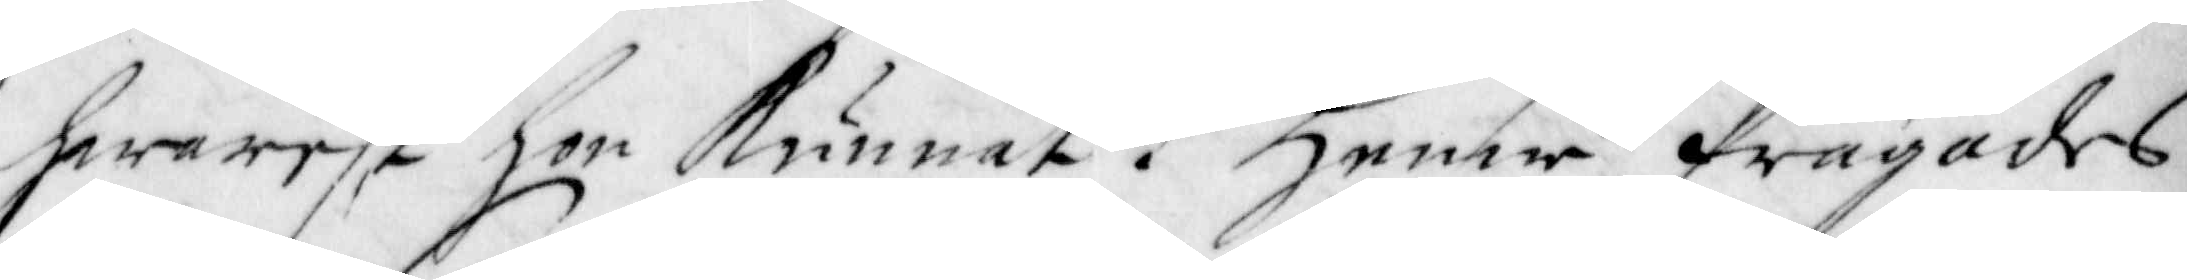hwarest hon Kunnat. Henne frägades
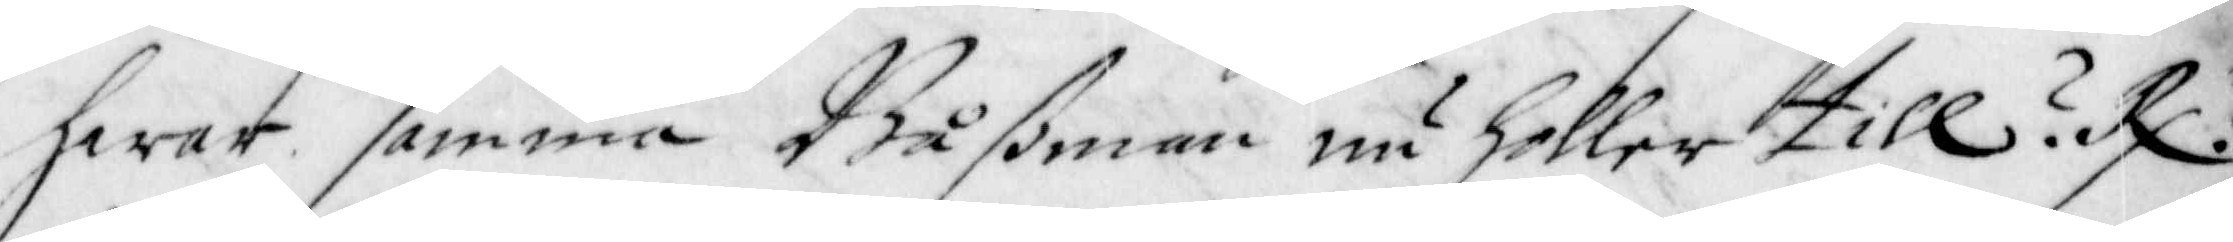hwar samma Båßman nu holler till? R:r
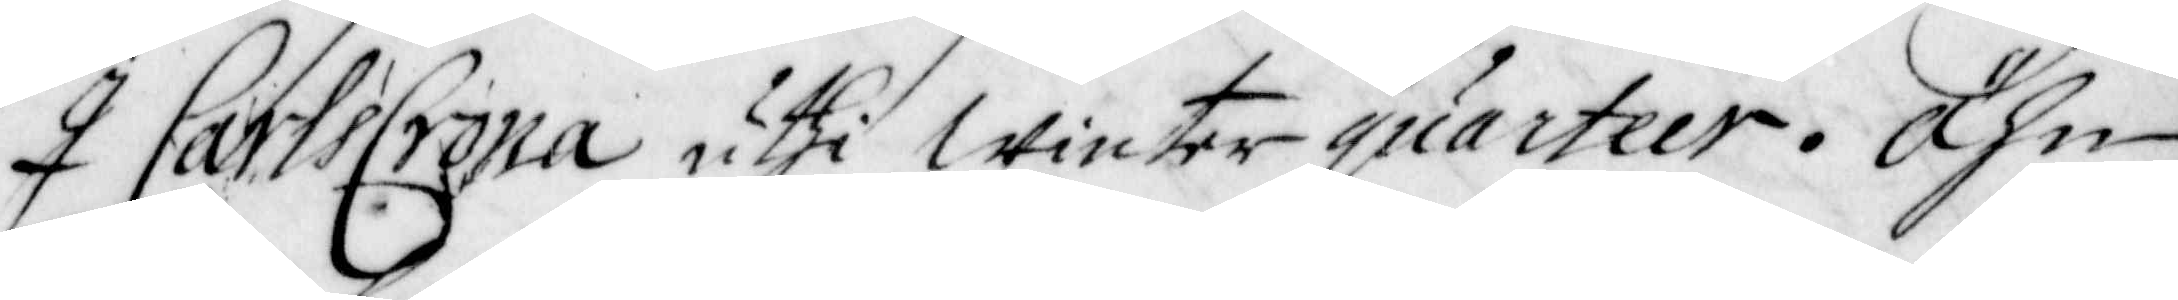I CarlsCrona uthi Winter Quarteer. Ähn
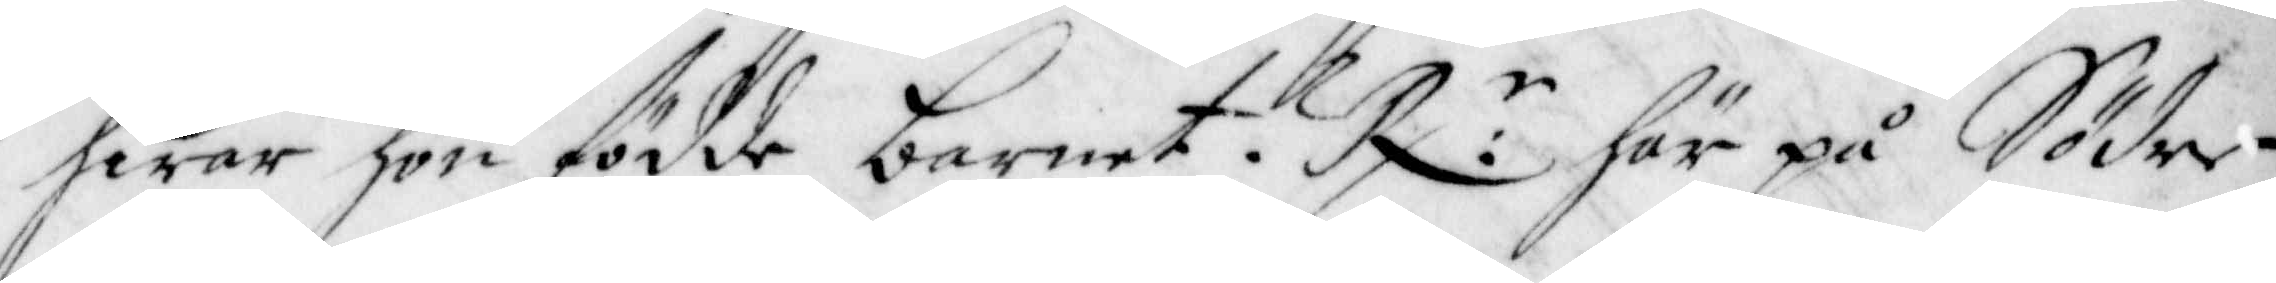hwar hon födde barnet? R:r här på Söder¬
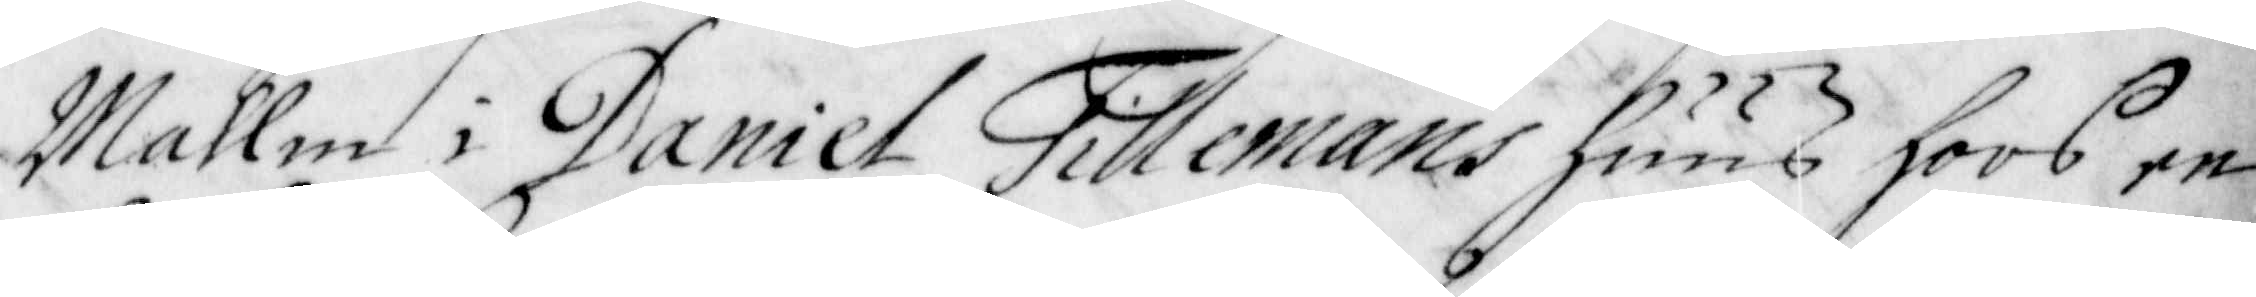Mallm i Daniel Tillemans huus hoos en
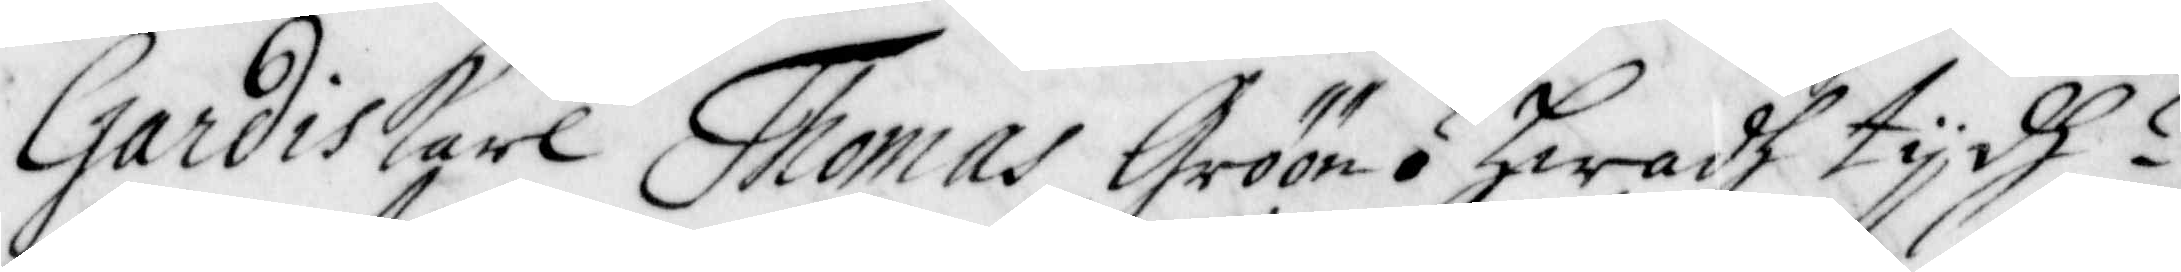Gardiskarl Thomas Gröön ? hwadh tijdh?
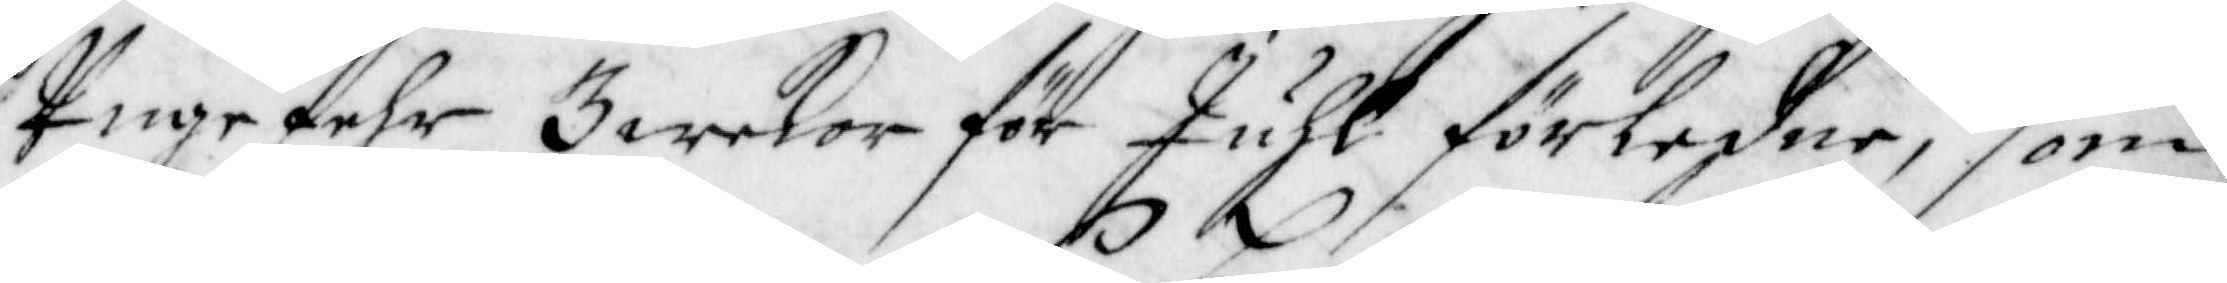Ungefehr 3 wekor för Juhl förledne, som
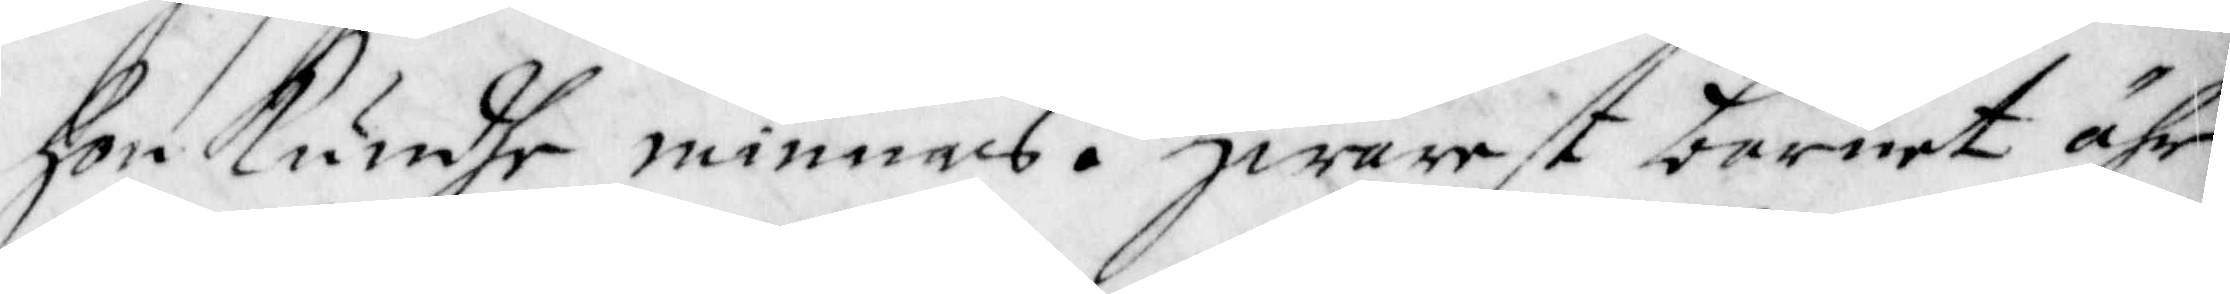hon Kundhe minnas. Hwarest barnet ähr
